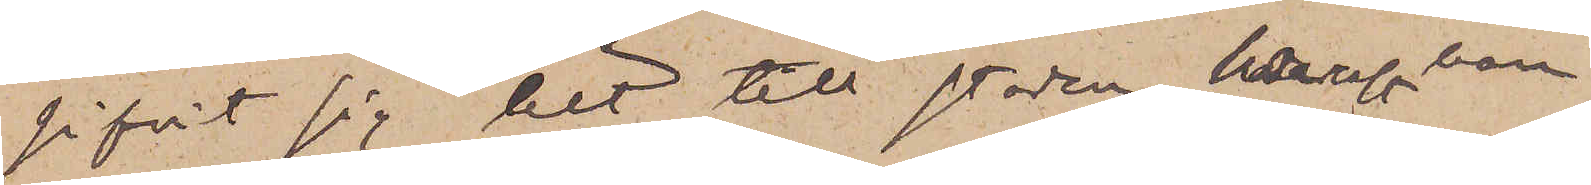gifvit sig hit till staden, där han
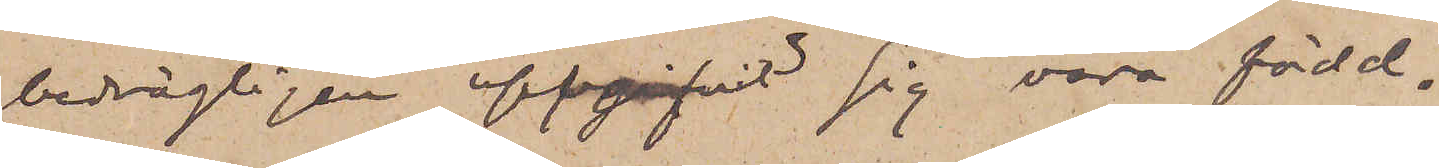bedrägligen uppgifvit sig vara född.
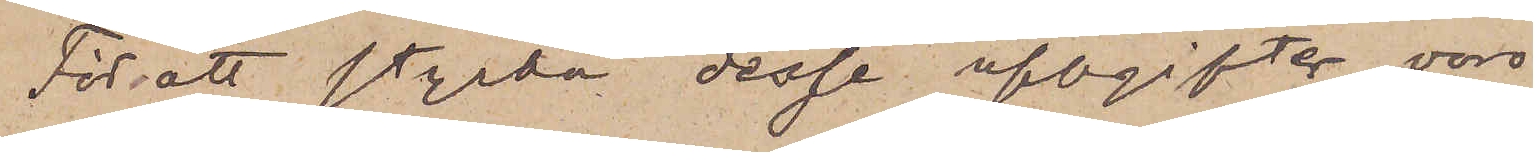För att styrka desse uppgifter voro
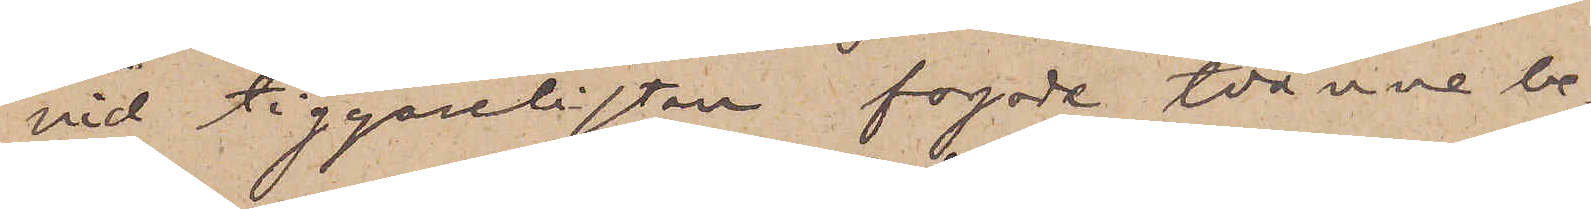vid tiggarelistan fogade tvänne be¬
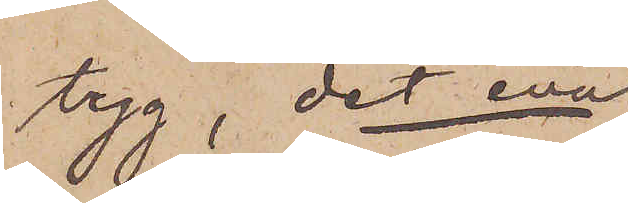tyg, det ena
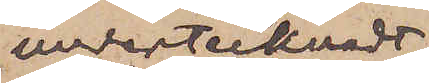undertecknadt
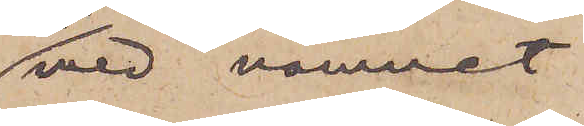med namnet
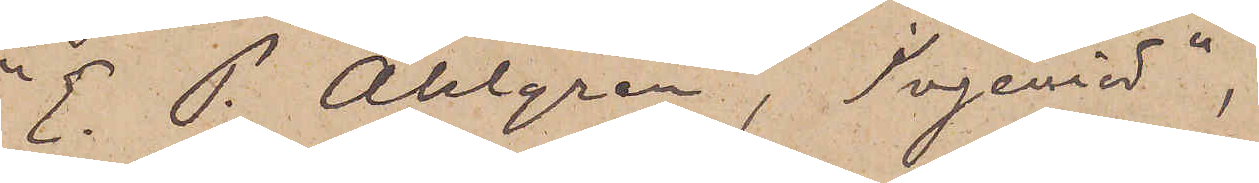"E. P. Ahlgren, Ingeniör"
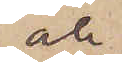och
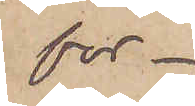för¬
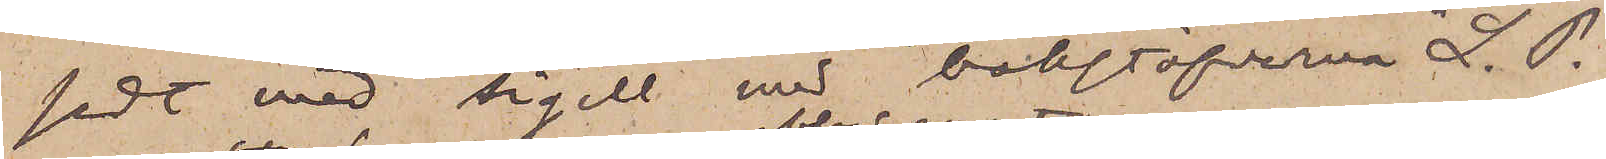sedt med sigill med bokstäfverena "L. P.
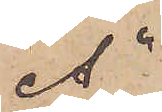A",
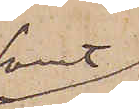samt
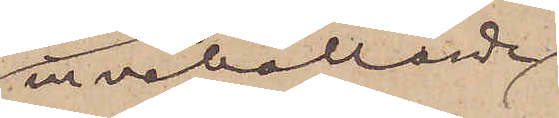innehållande
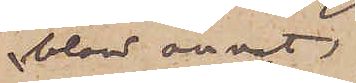bland annat,
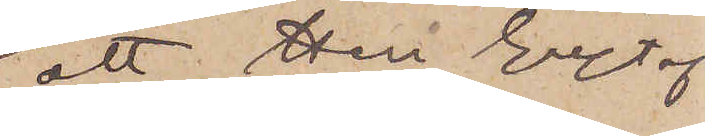att Herr Gustaf
